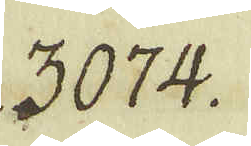3074.
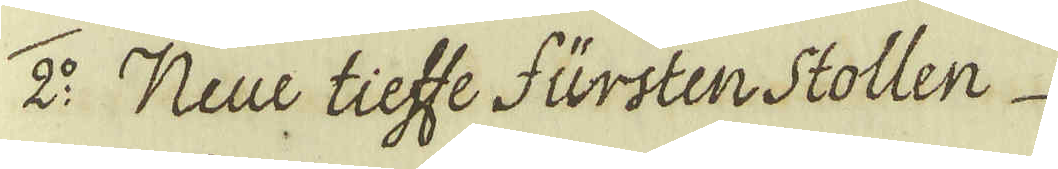2:o Neue tieffe fürsten Stollen
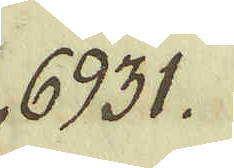6931.
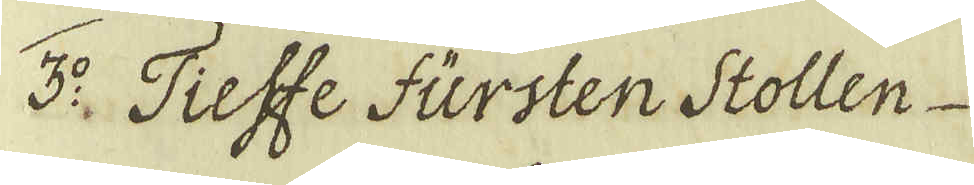3:o. Tieffe fürsten Stollen
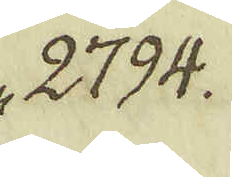2794.
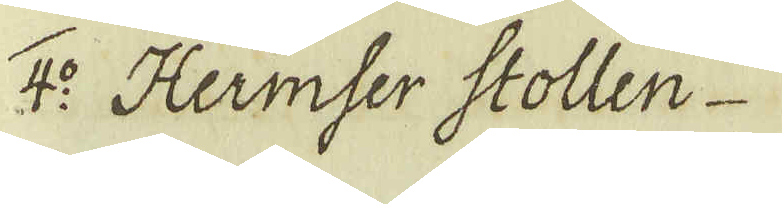4:o Hermser Stollen
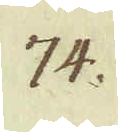74.
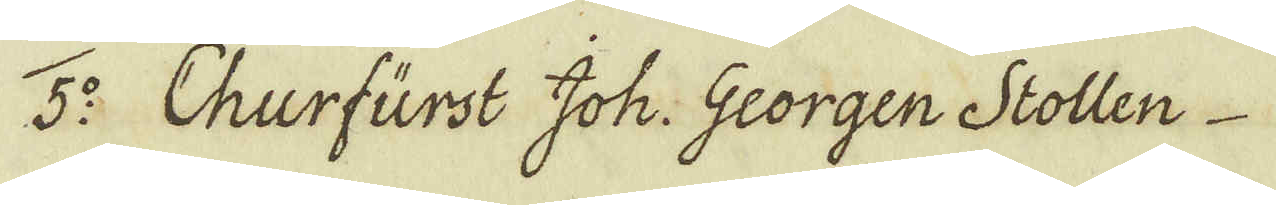5:o Churfürst Joh. Georgen Stollen
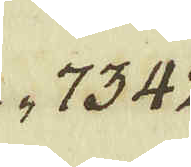7342.
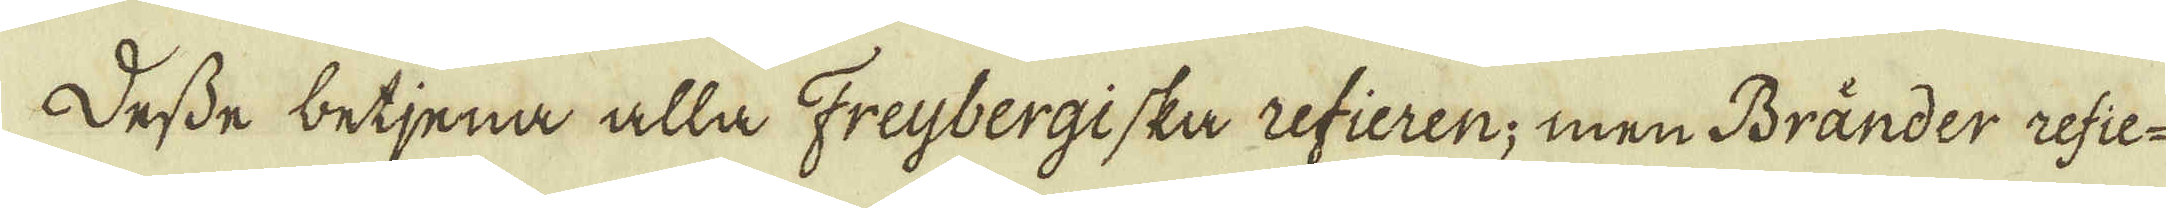Desse betjena alla Freijbergiska refieren; men Bränder refie-
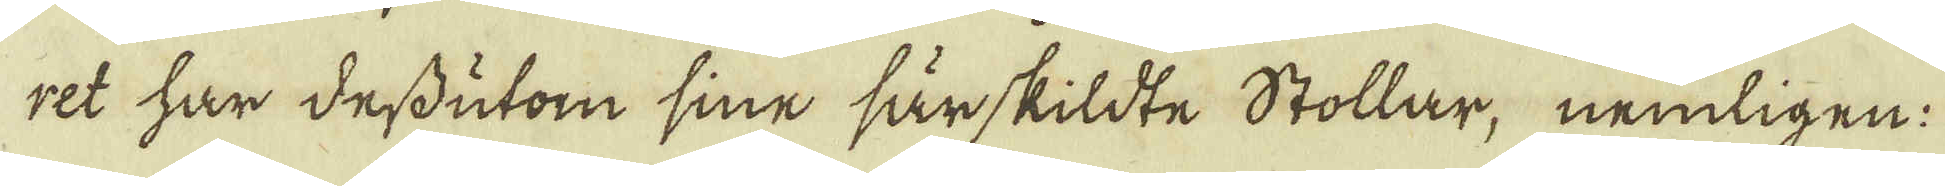ret har dessutom sine särskildte Stollar, nemligen:
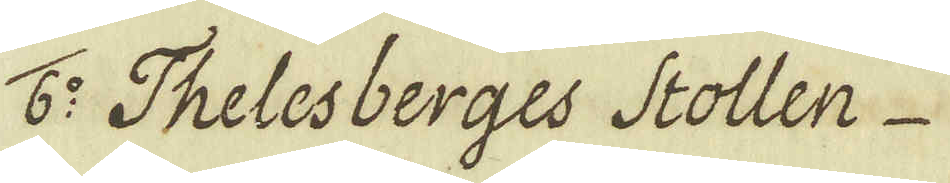6:o Thelesberges Stollen
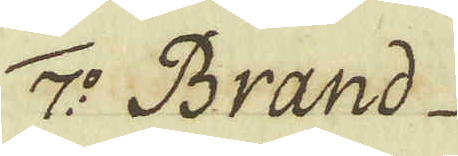7:o Brand
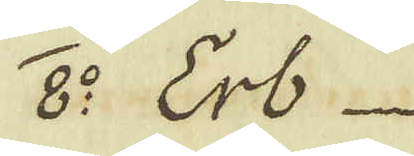8:o Erb
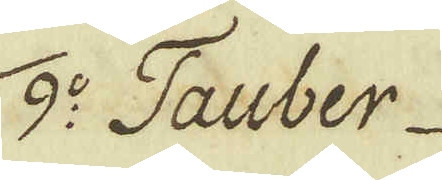9:o Tauber
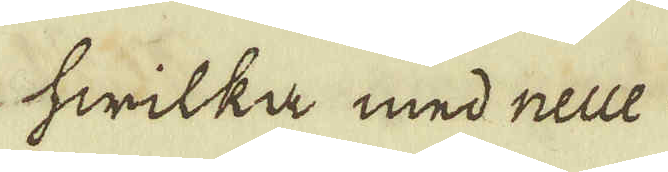hwilka med neue
